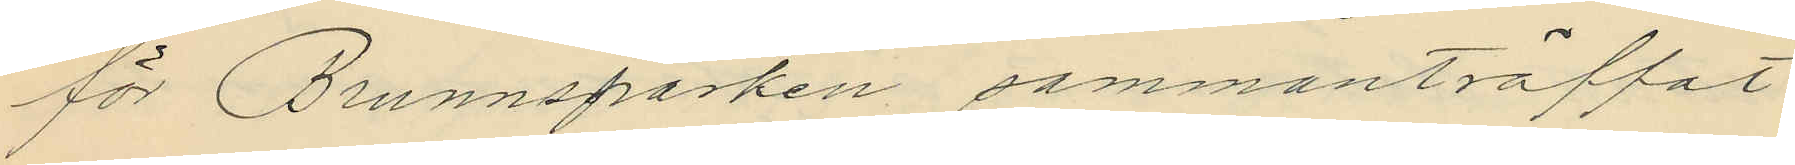för Brunnsparken sammanträffat
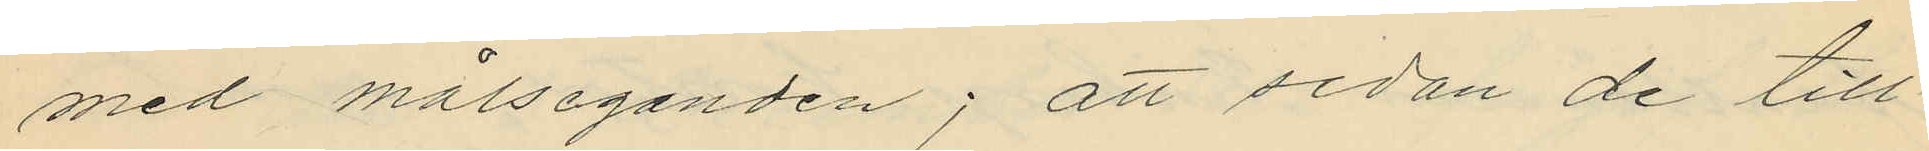med målseganden; att sedan de till¬
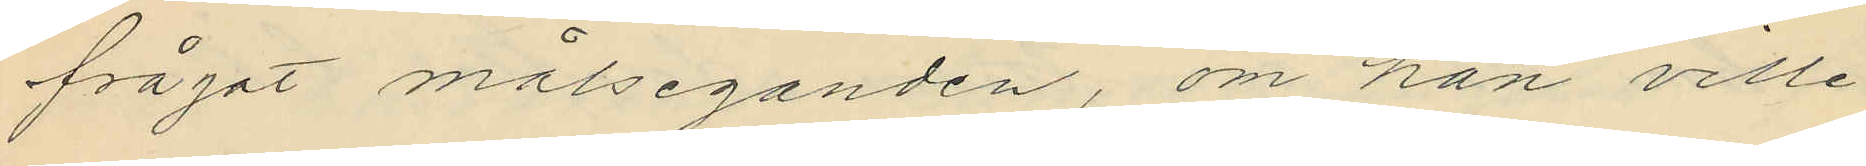frågat målseganden, om han ville
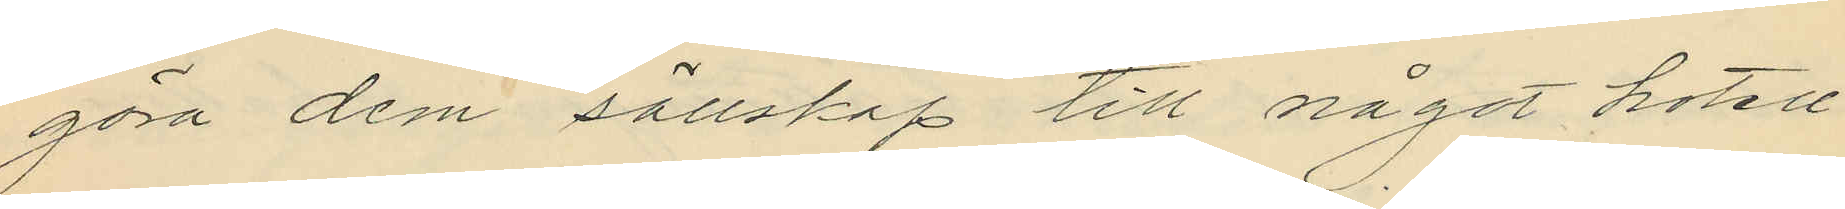göra dem sällskap till något hotell
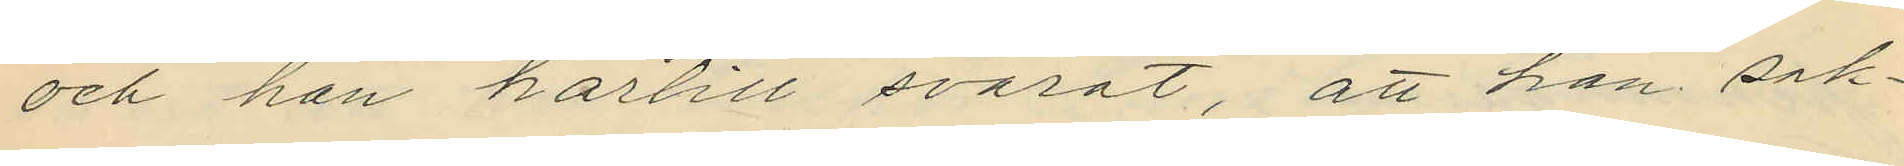och han härtill svarat, att han sak¬
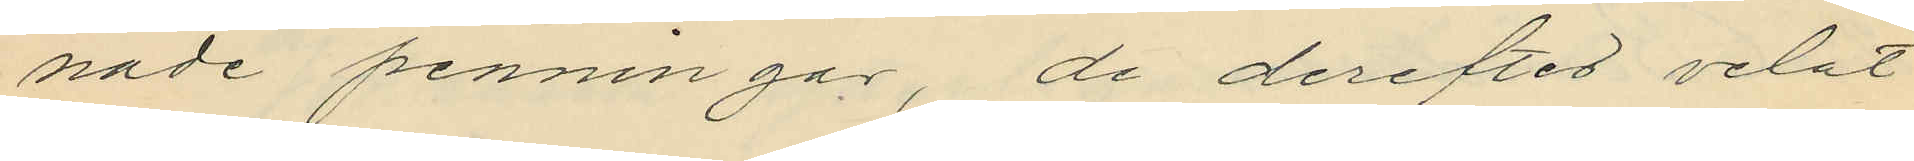nade penningar, de derefter velat
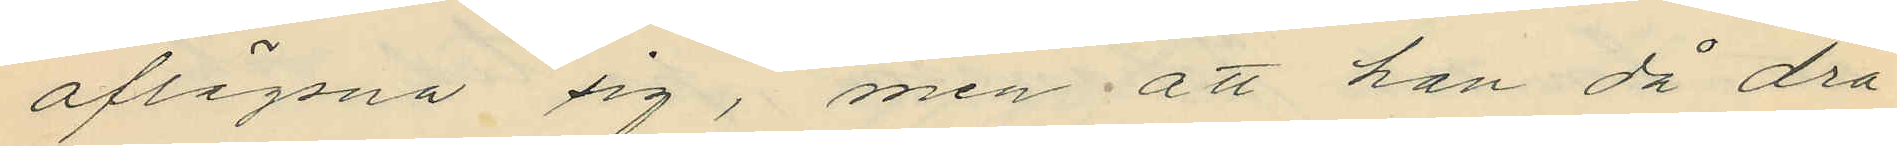aflägsna sig, men att han då dra¬
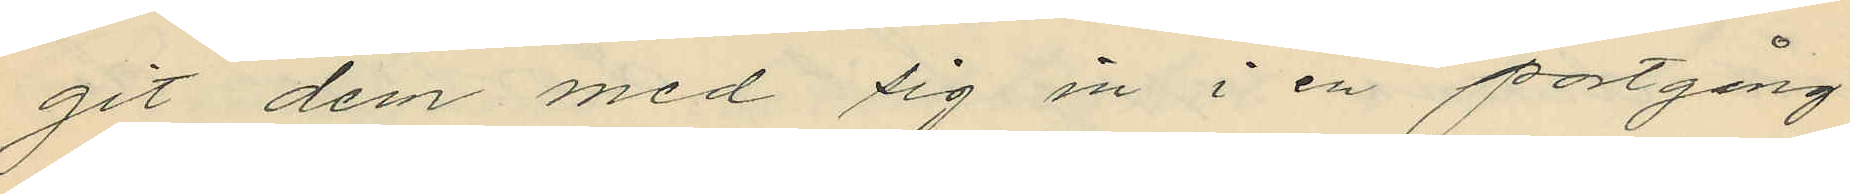git dem med sig in i en portgång
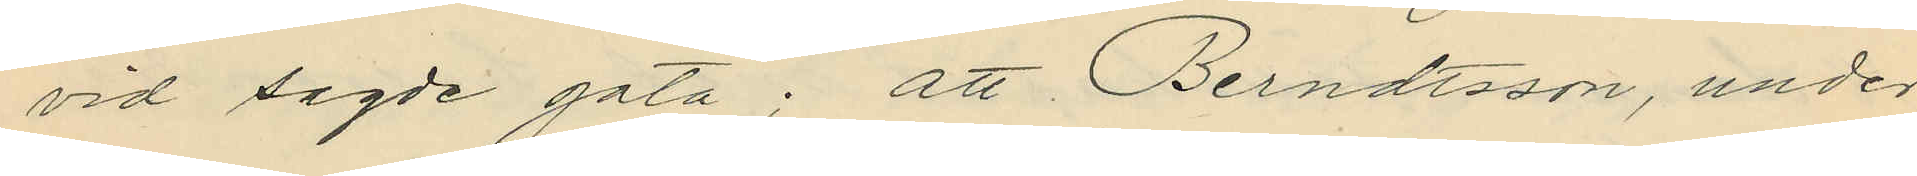vid sagde gata; att Berndtsson, under
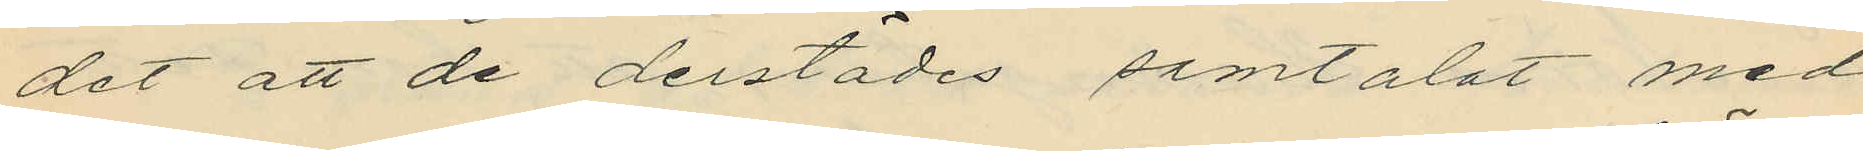det att de derstädes samtalat med
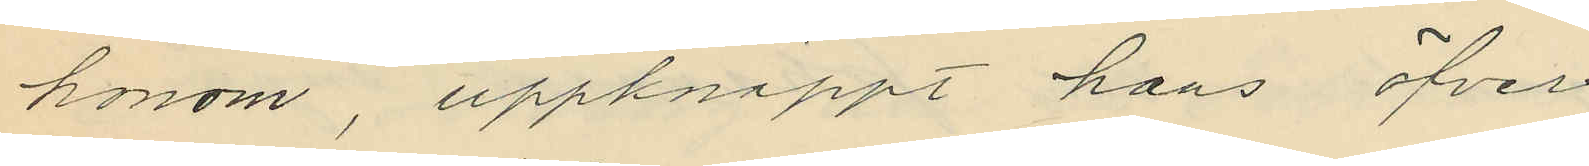honom, uppknäppt hans öfver¬
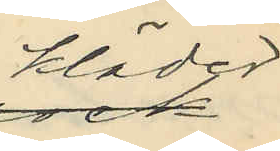kläder
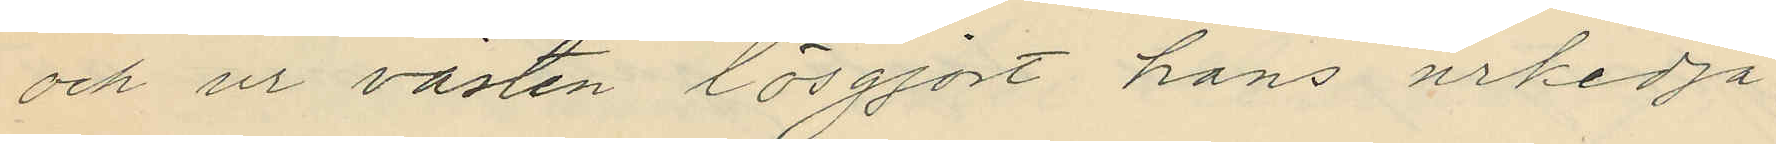och ur västen lösgjort hans urkedja;
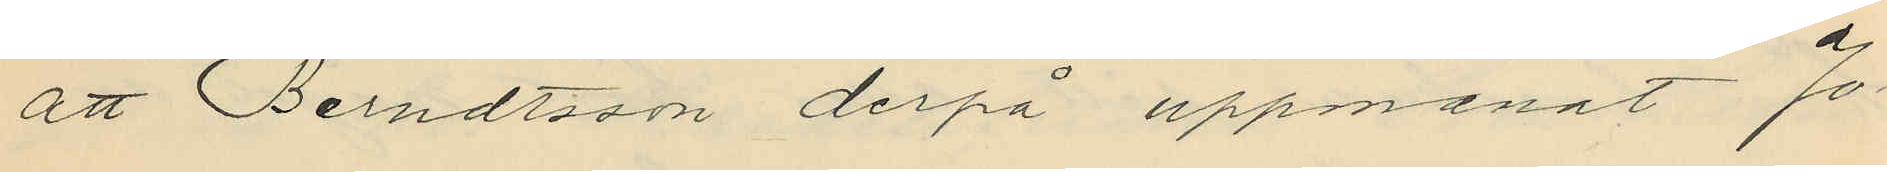att Berndtsson derpå uppmanat Jo¬
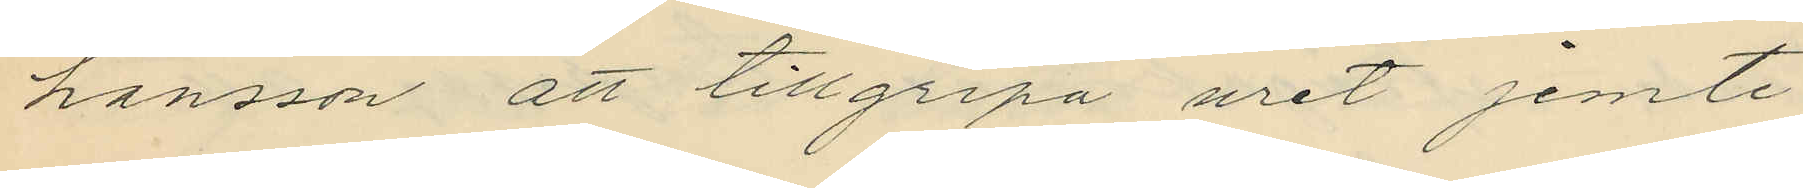hansson att tillgripa uret jemte
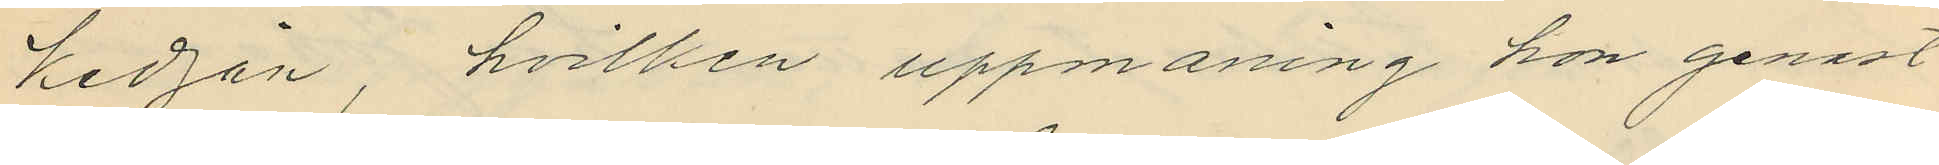kedjan, hvilken uppmaning hon genast
